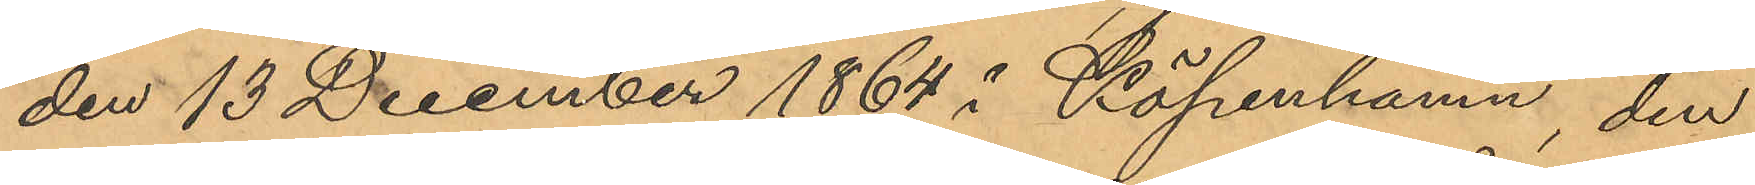den 13 December 1864 i Köpenhamn, den
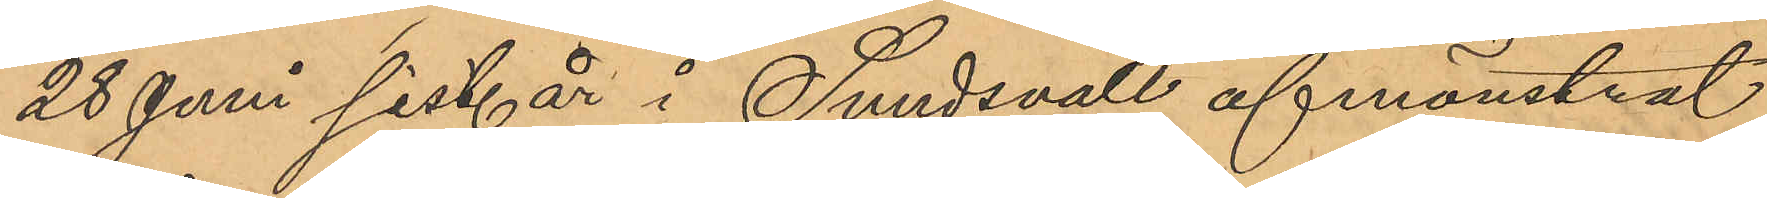28 Juni sist. år i Sundsvall afnönstrat
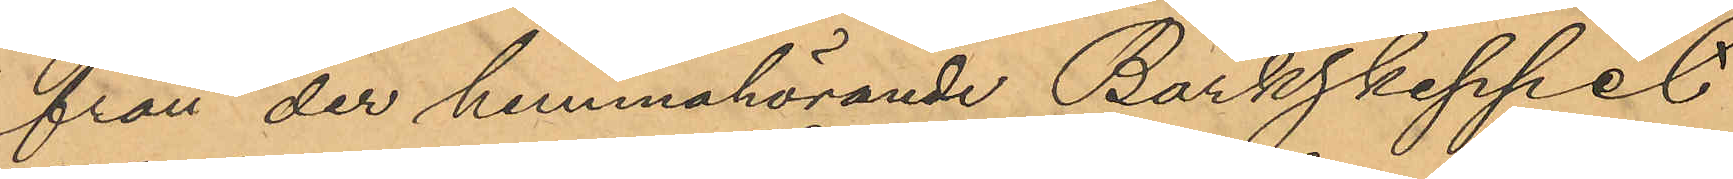från der hemmahörande Barkskeppet
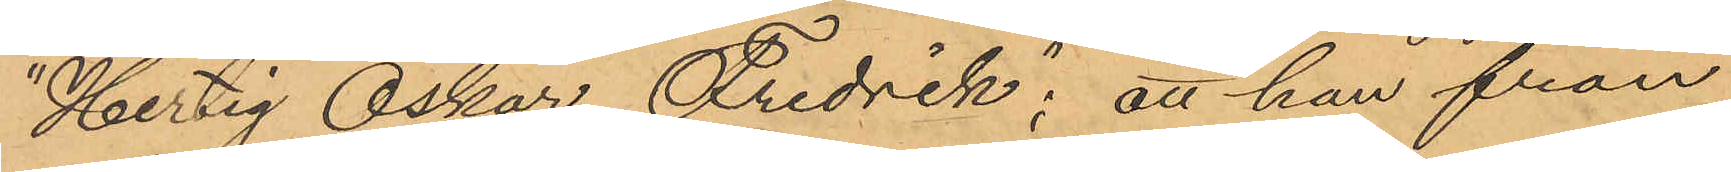"Hertig Oskar Fredrik"; att han från
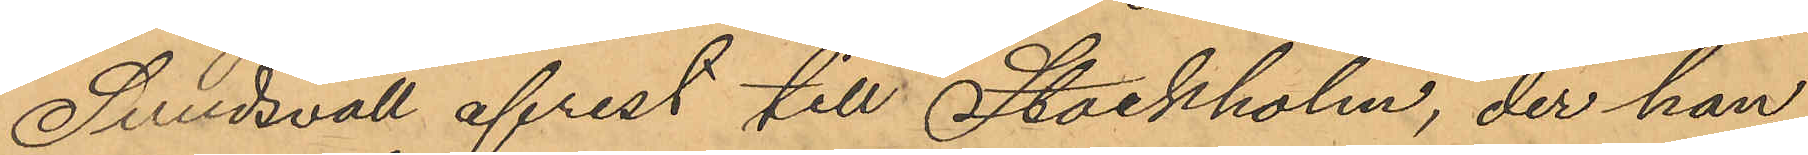Sundsvall afrest till Stockholm, der han
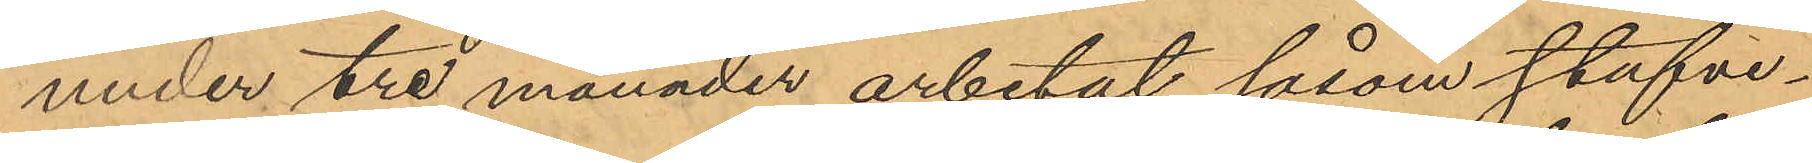under tre månader arbetat såsom stufve¬
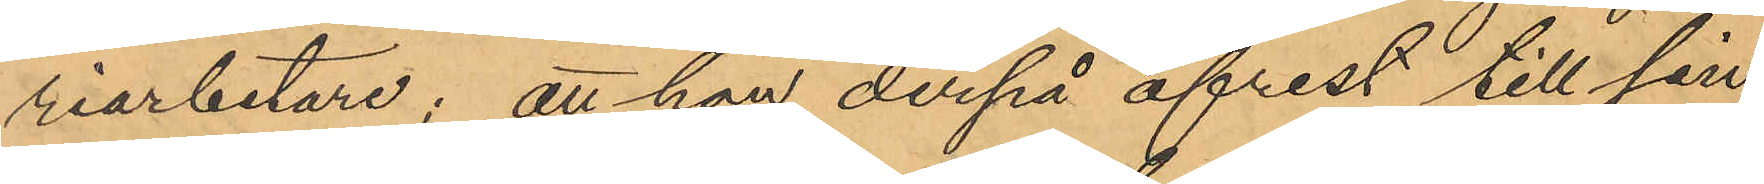riarbetare; att han derpå afrest till sin
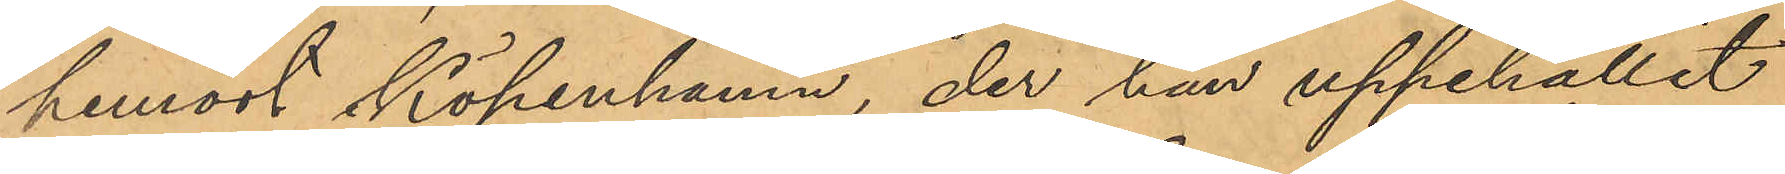hemort Köpenhamn, der han uppehållit
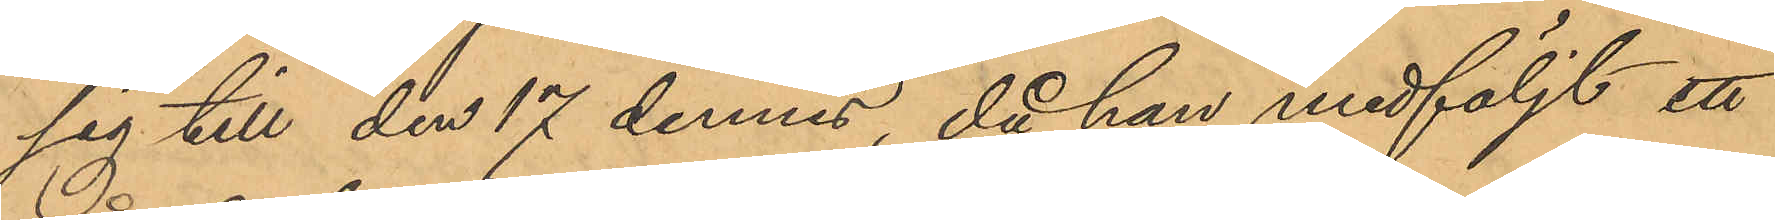sig till den 17 dennes, då han medföljt ett
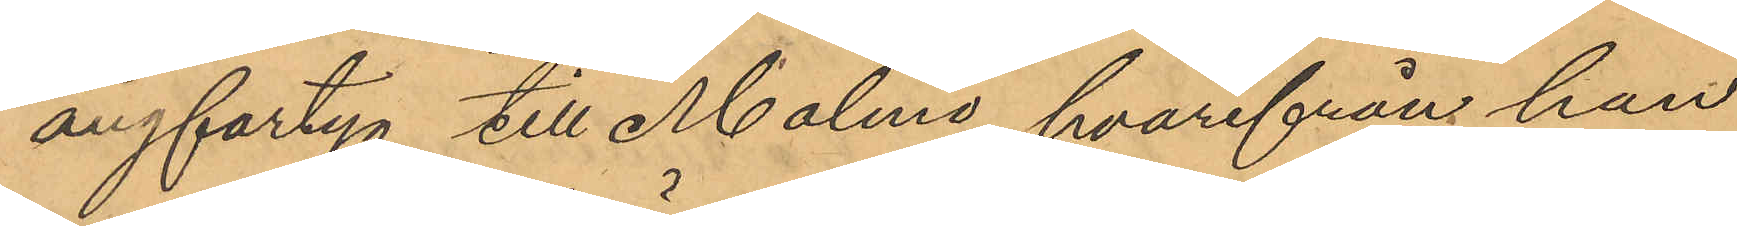ångfartyg till Malmö, hvarifrån han
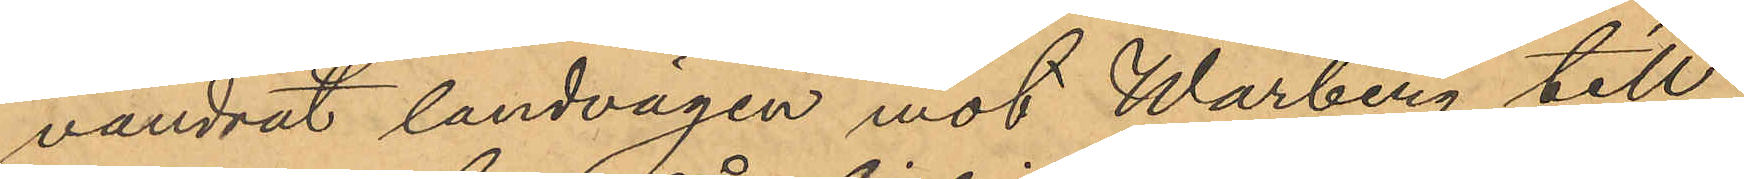vandrat landvägen mot Warberg till
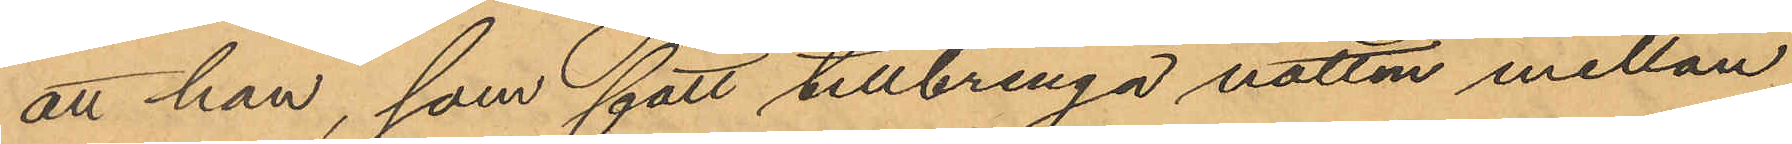att han, som fått tillbringa natten mellan
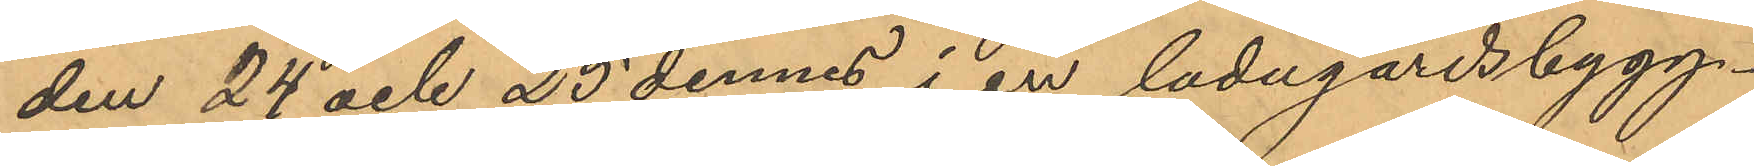den 24 och 25 dennes i en ladugårdsbygg¬
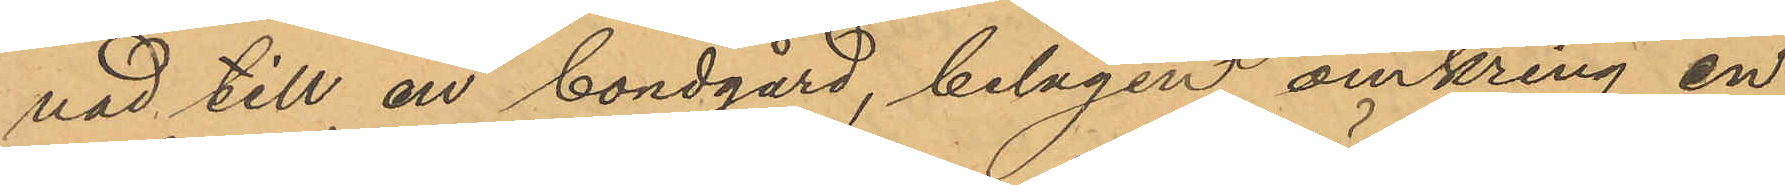nad till en bondgård, belägen omkring en
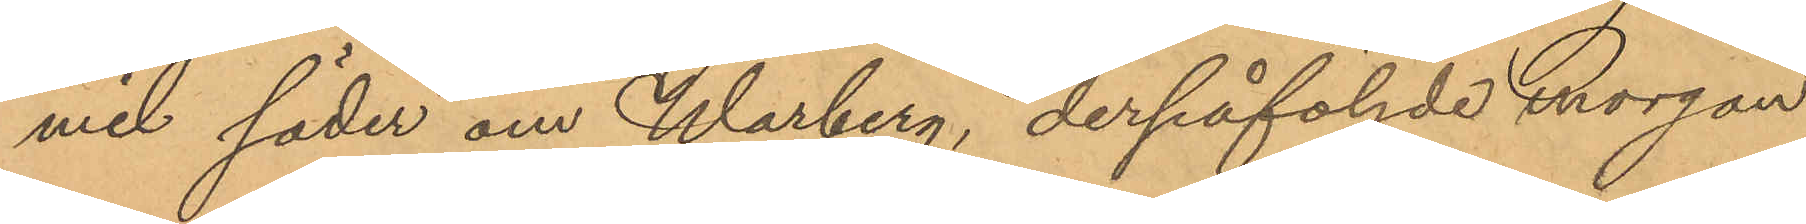mil söder om Warberg, derpåföljde morgon
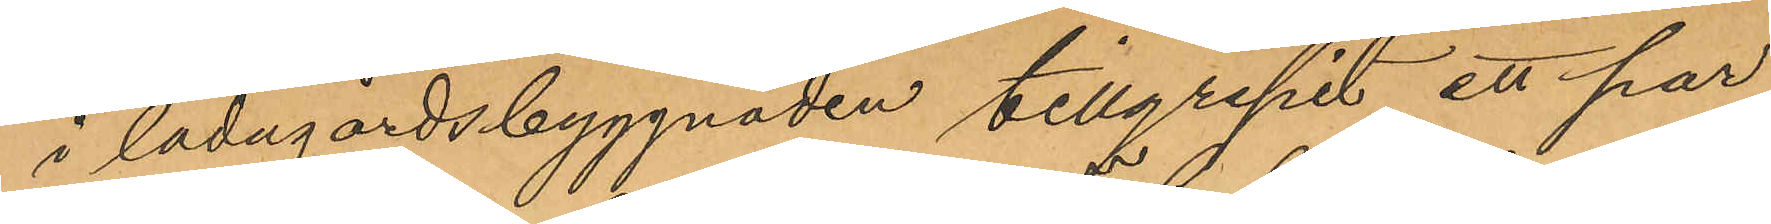i ladugårdsbyggnaden tillgripit ett par
